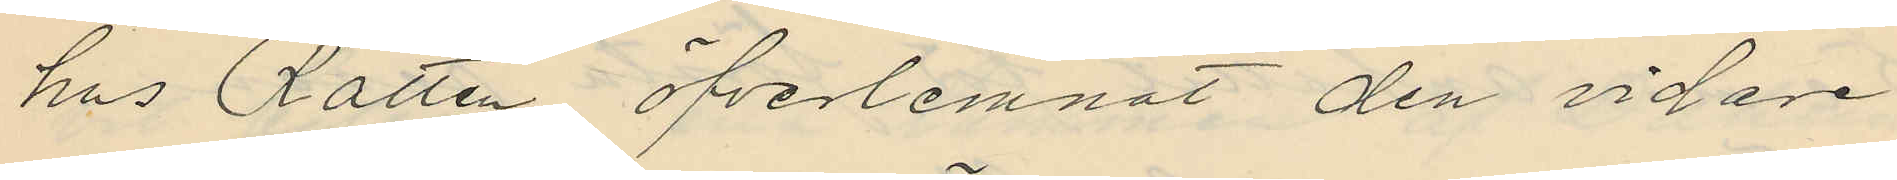hus Rätten öfverlemnat den vidare
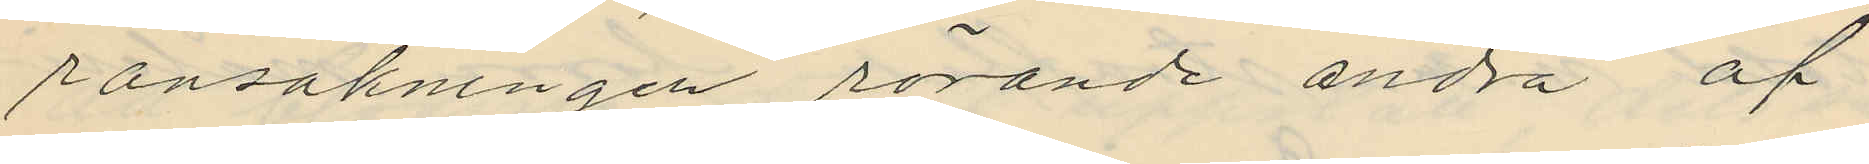ransakningen rörande andra af
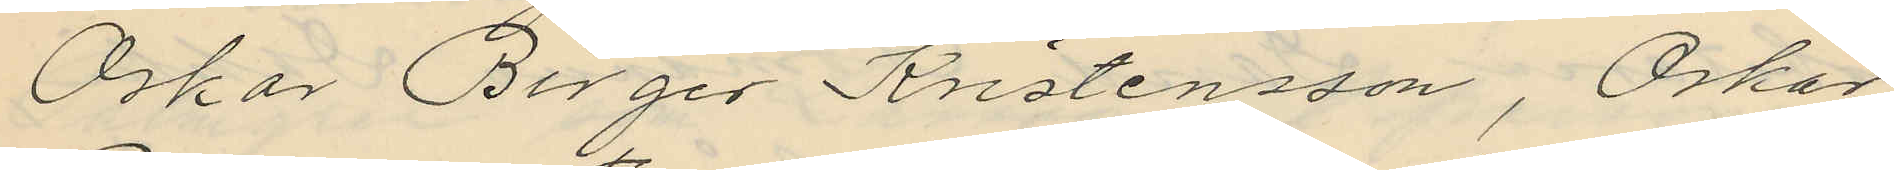Oskar Birger Kristensson, Oskar
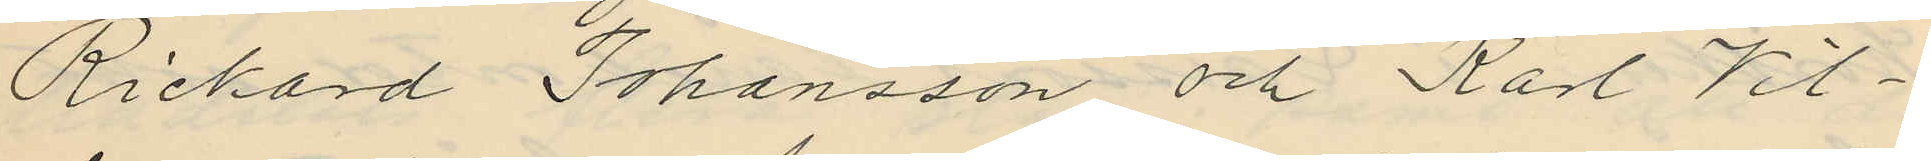Richard Johansson och Karl Vil¬
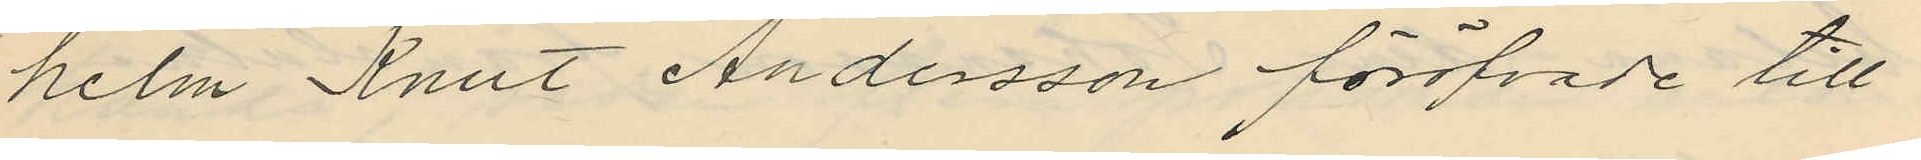helm Knut Andersson föröfvade till¬
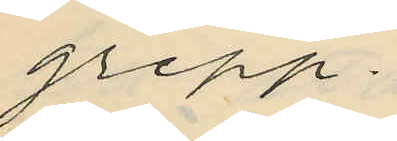grepp.
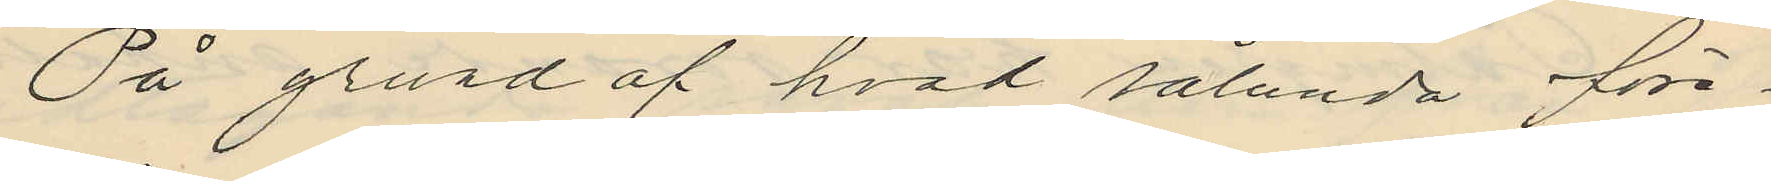På grund af hvad sålunda före¬
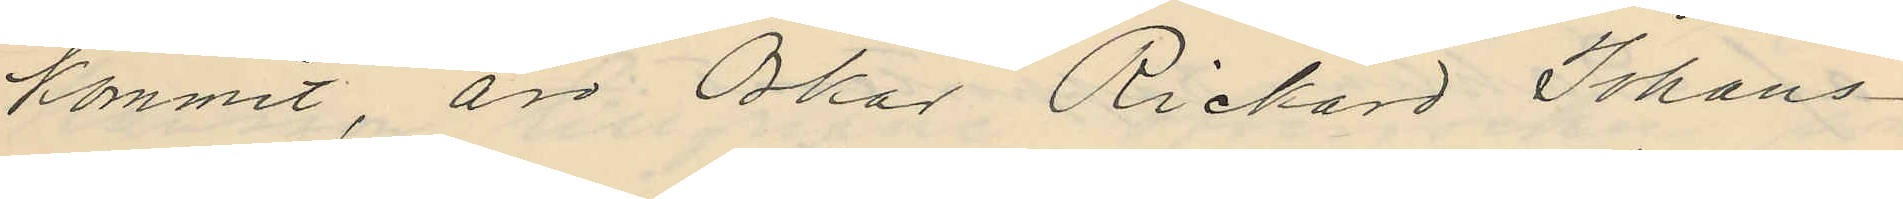kommit, är Oskar Rickard Johans¬
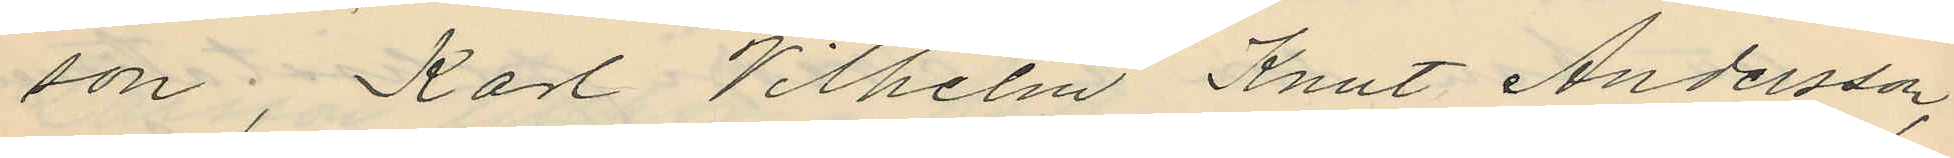son, Karl Vilhelm Knut Andersson,
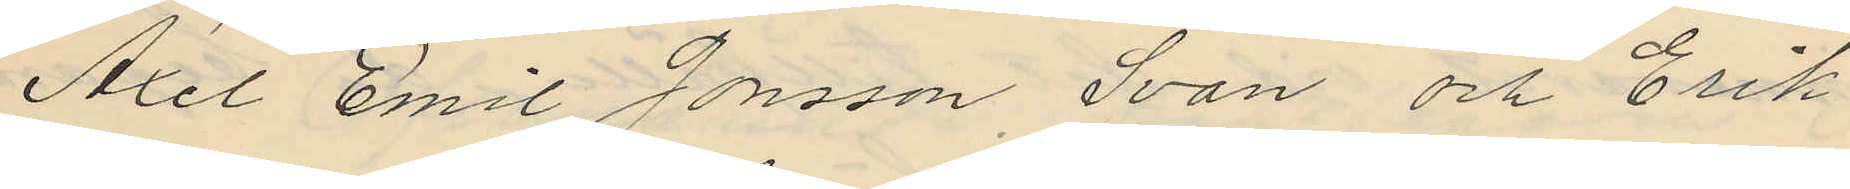Axel Emil Jonsson Svan och Erik
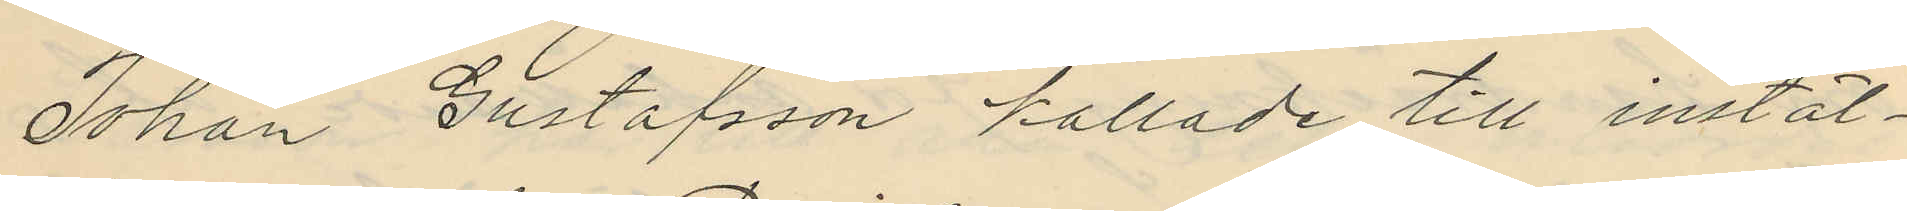Johan Gustafsson kallade till instäl¬
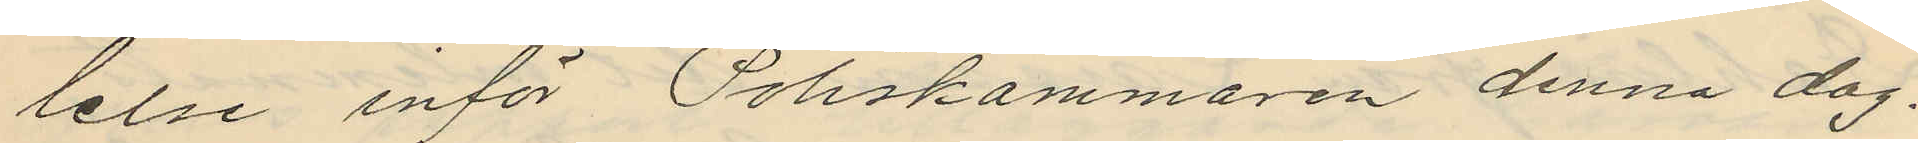lelse inför Poliskammaren denna dag.
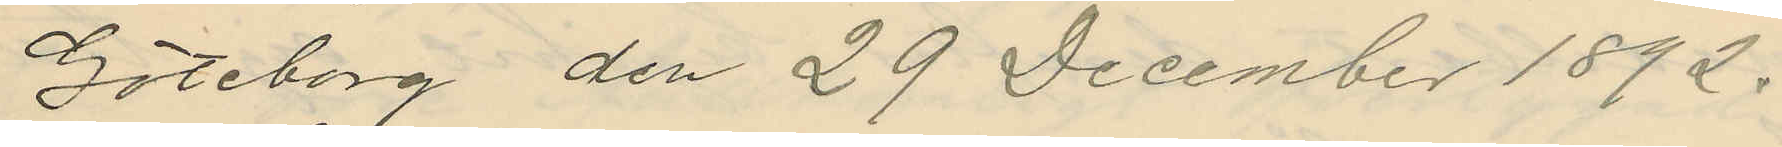Göteborg den 29 December 1892.
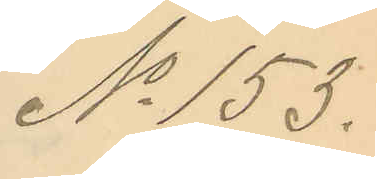No 153.
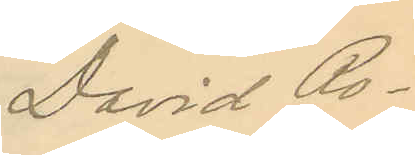David Ro¬
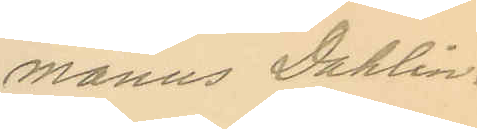manus Dahlin.
